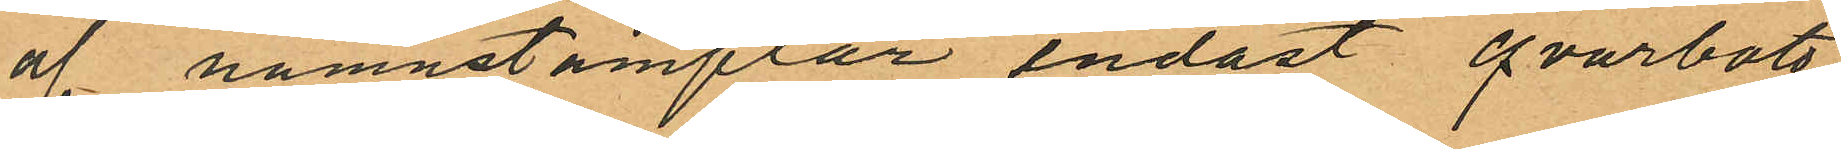af namnstämplar endast qvarbott
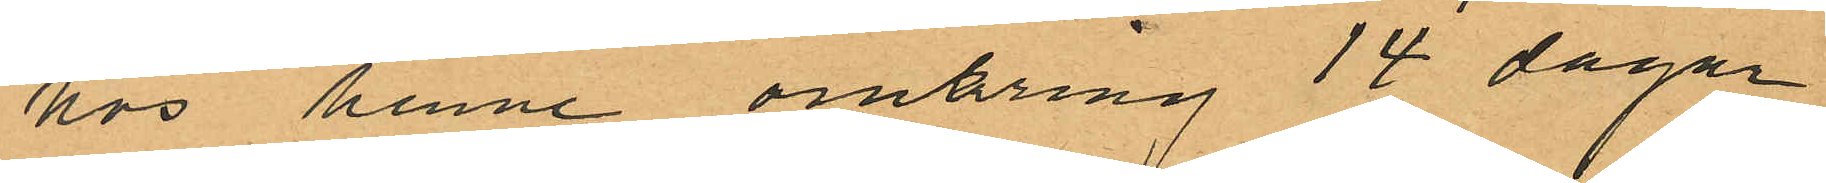hos henne omkring 14 dagar
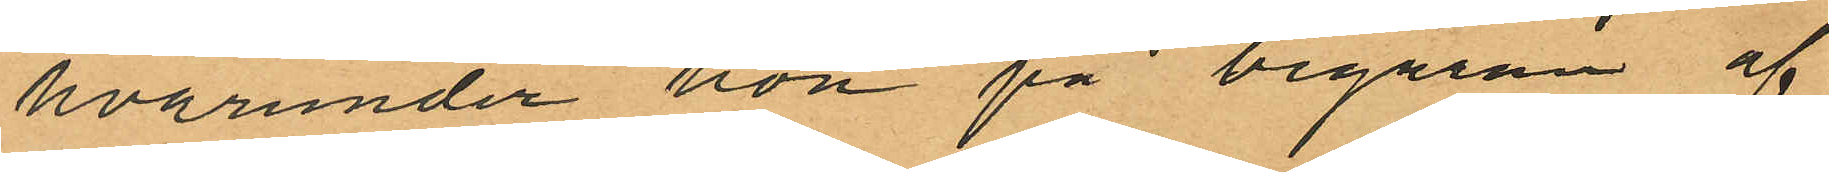hvarunder hon på begäran af
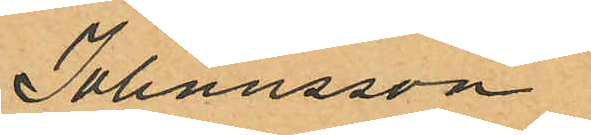Johansson
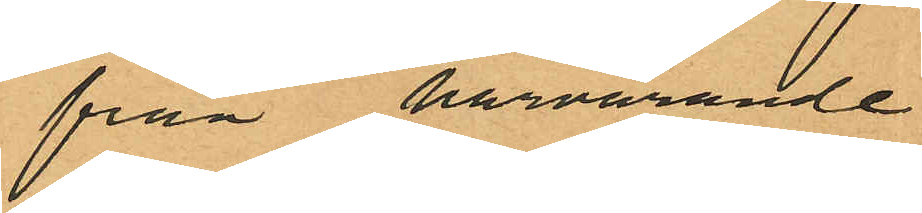från härvarande
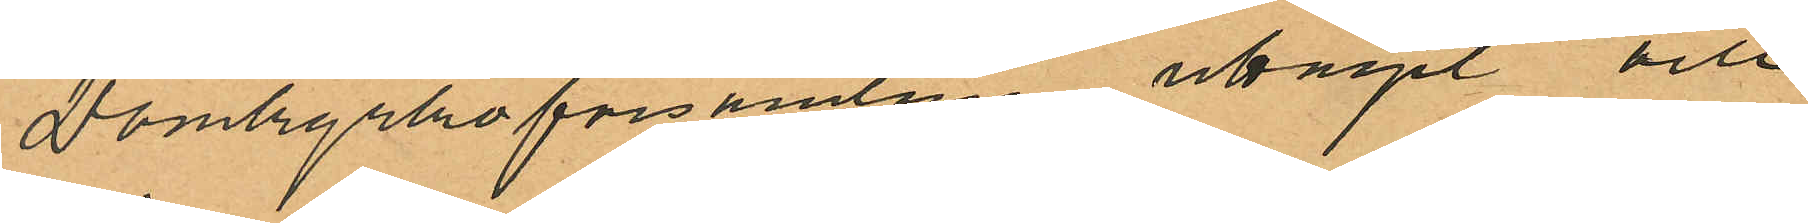Domkyrkoförsamling uttagit och
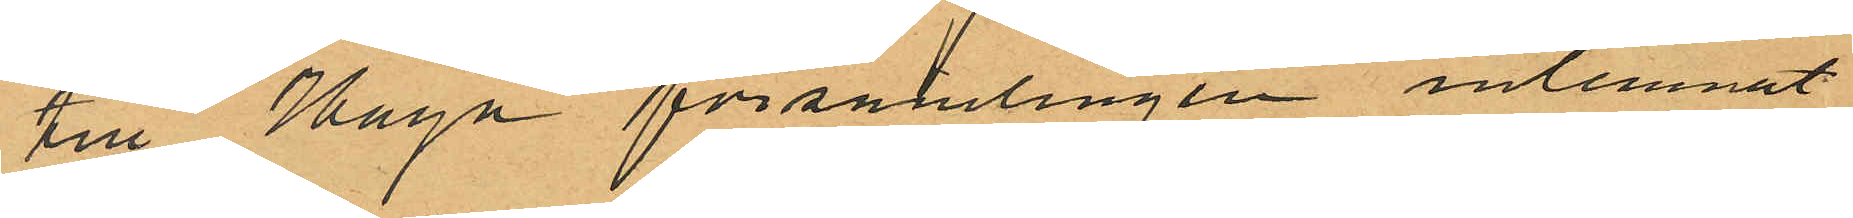till Haga församlingen inlemnat
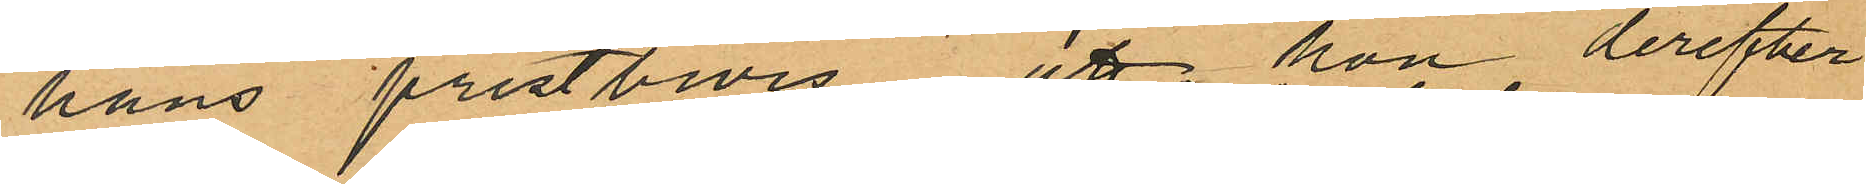hans prestbevis att hon derefter
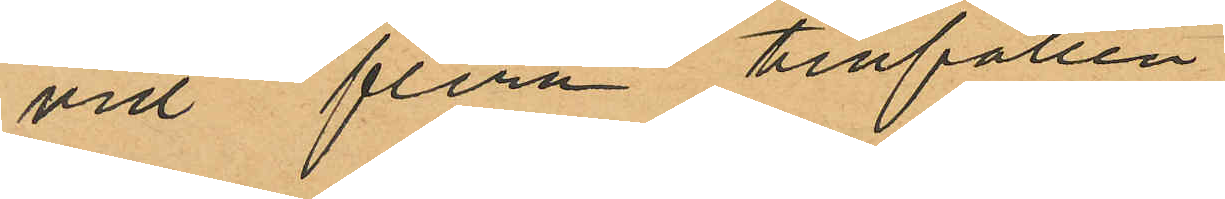vid flera tillfällen
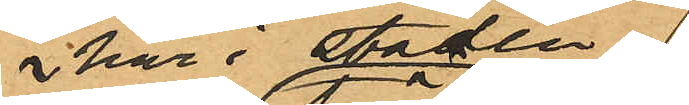här i staden
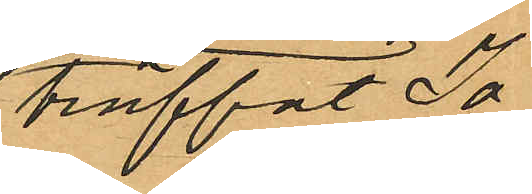träffat Jo¬
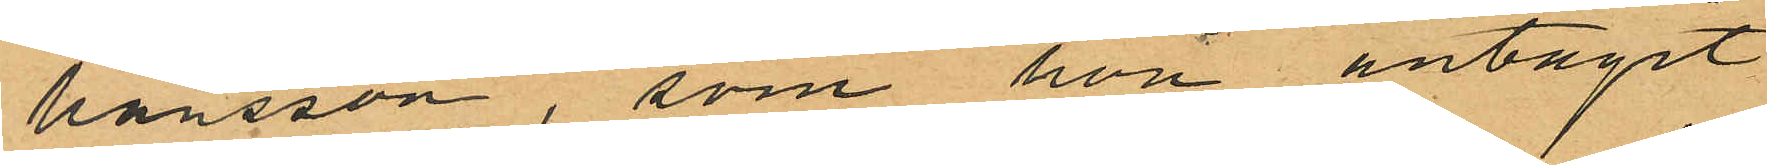hansson, som hon antagit
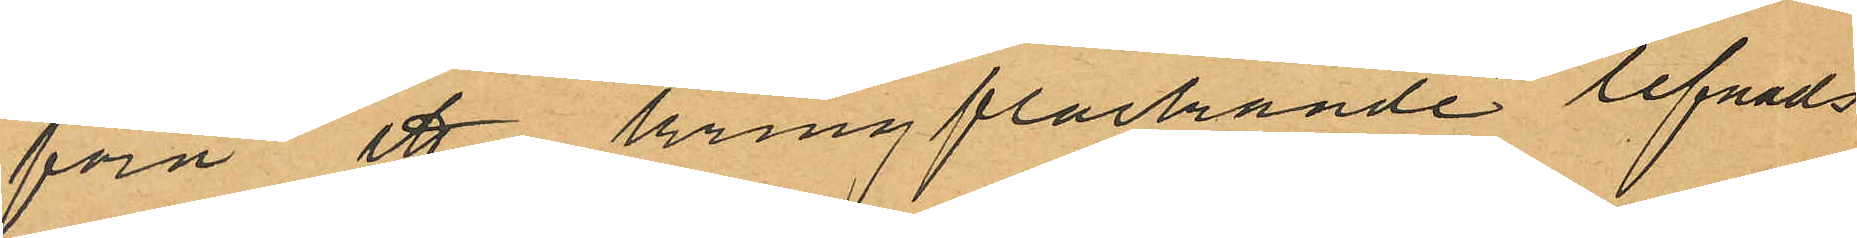föra ett kringflackande lefnads
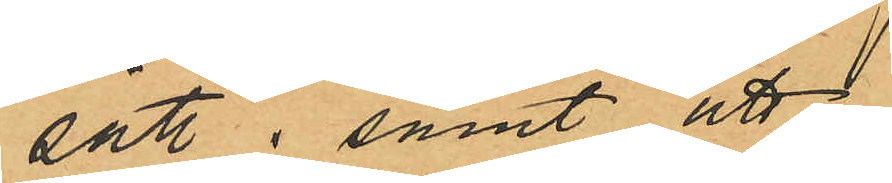sätt; samt att
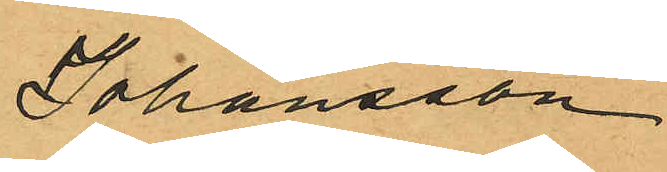Johansson
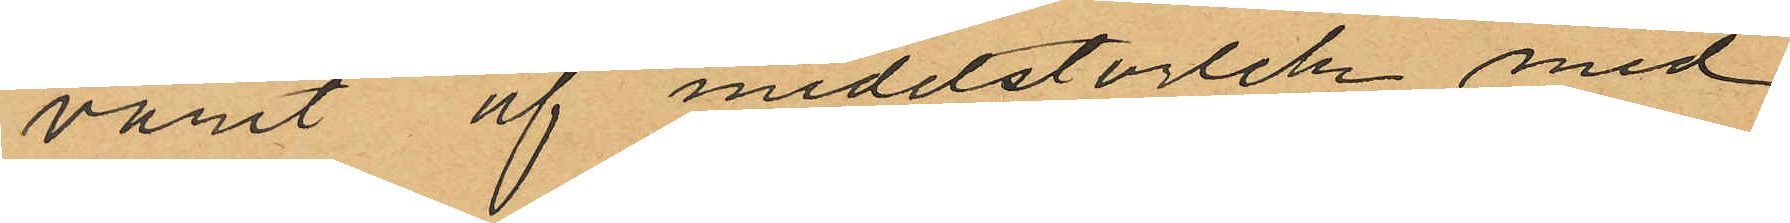varit af medelstorlek med
